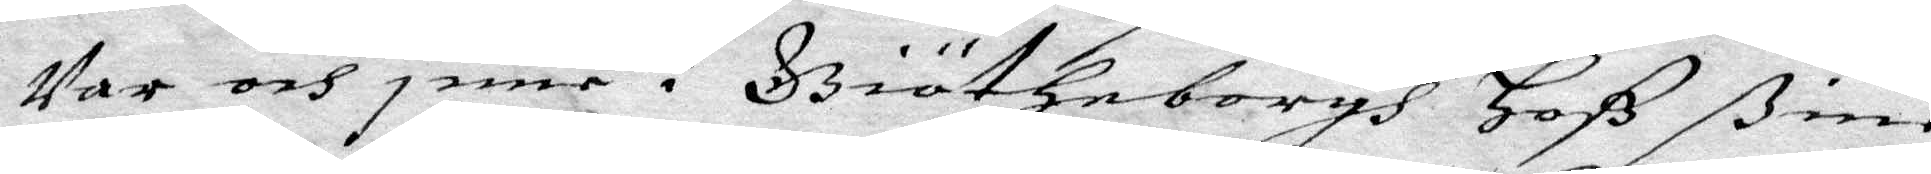war och inne i Giötheborgh Hoß sine
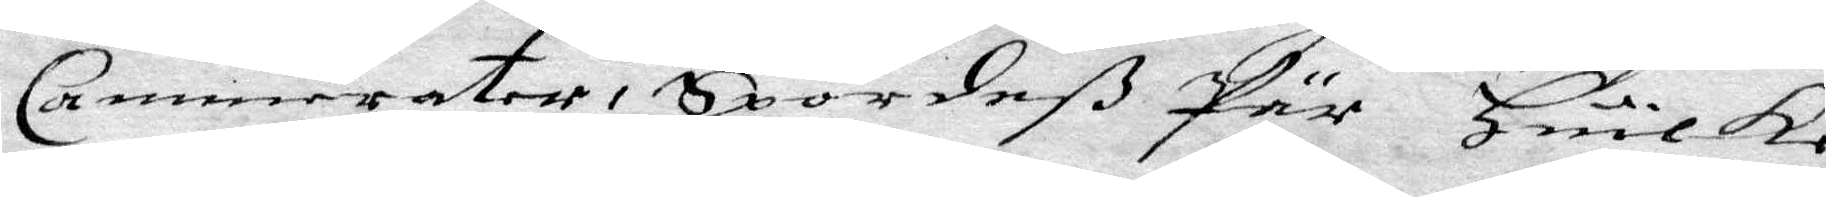Cammerater, Spordeß Pär Huilke
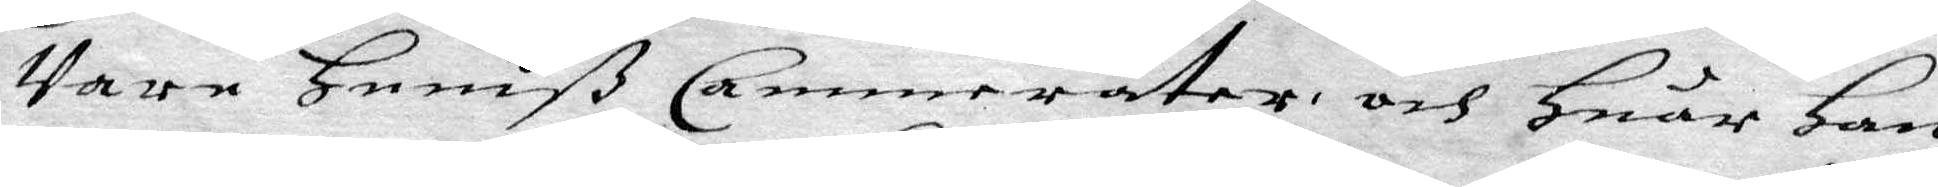Vare heniß Cammerater, och Huar han
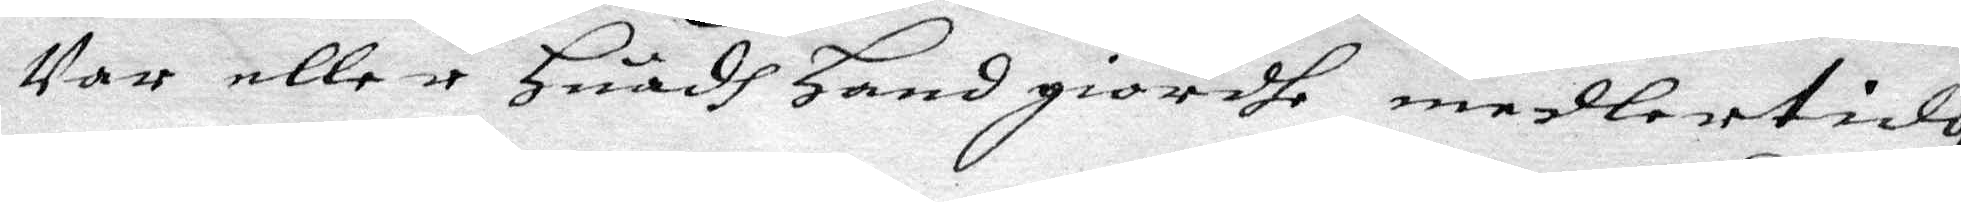Var eller Huadh Hand giordhe medlertidh
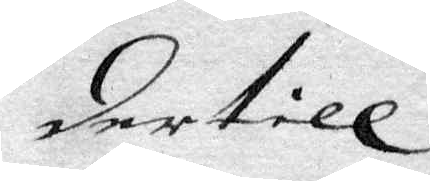der till
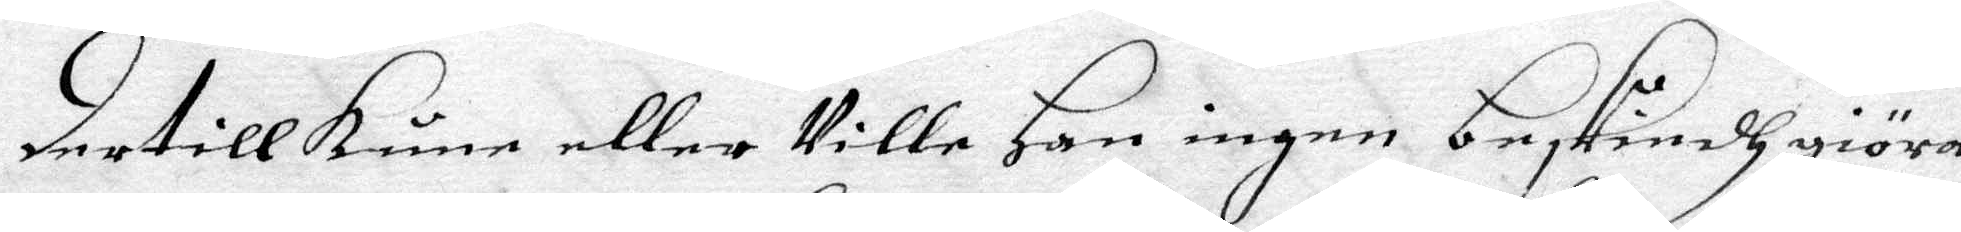dertill kune eller Ville Han ingen beskindh giöra,
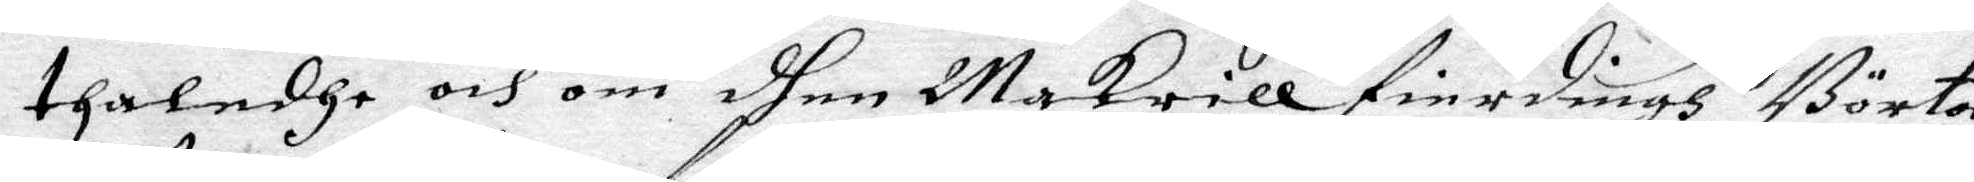thaladhe och om dhen Makrill fierdingh Börta
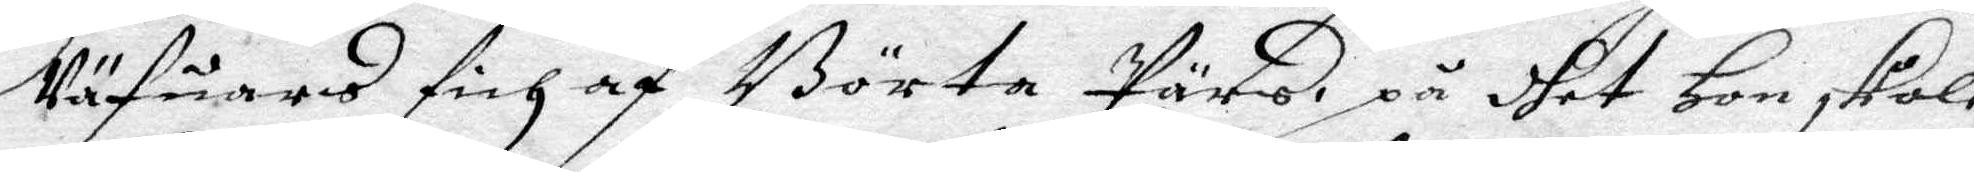Väfuares fich af Börta Pärs, på dhet Hon skole
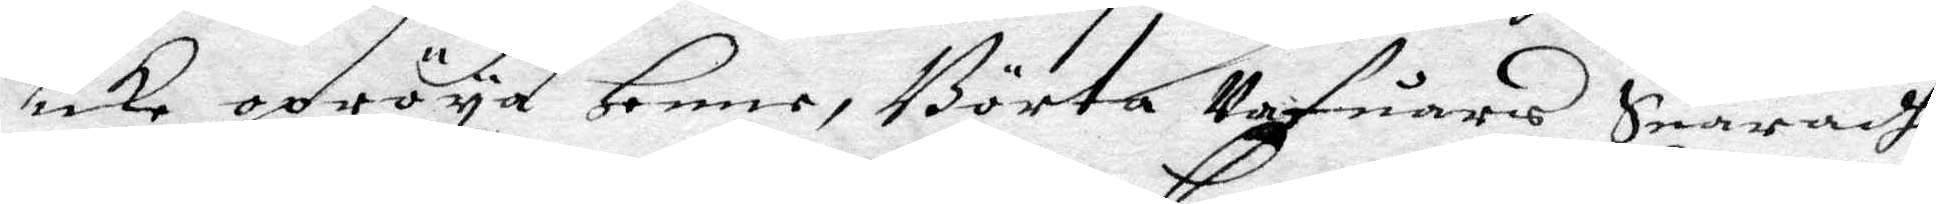icke opröya Henne, Börta Vafuares Suaradhe
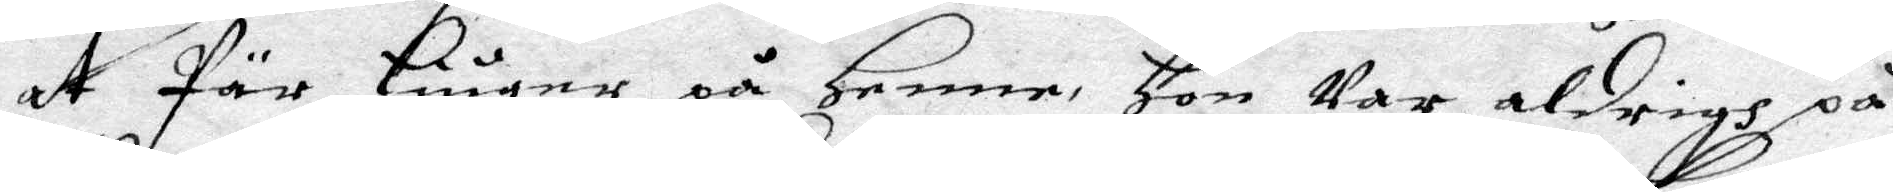at Pär Liuger på Henne, Hon Var aldrigh på
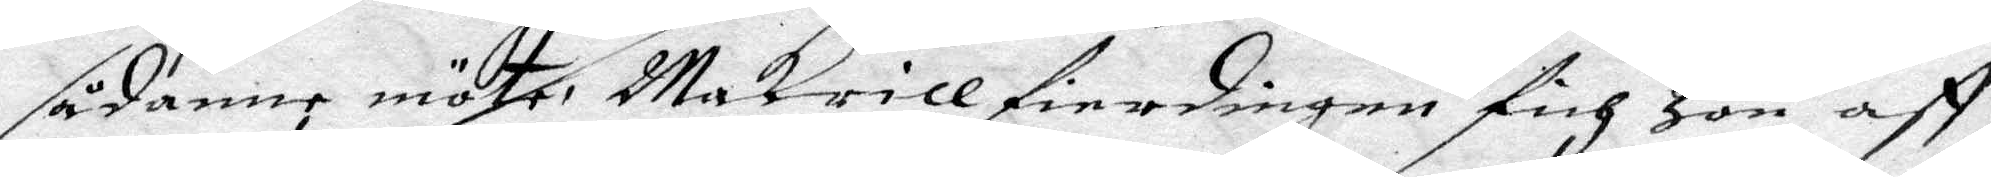sådanne möte. Makrill fierdingen fich Hon aff
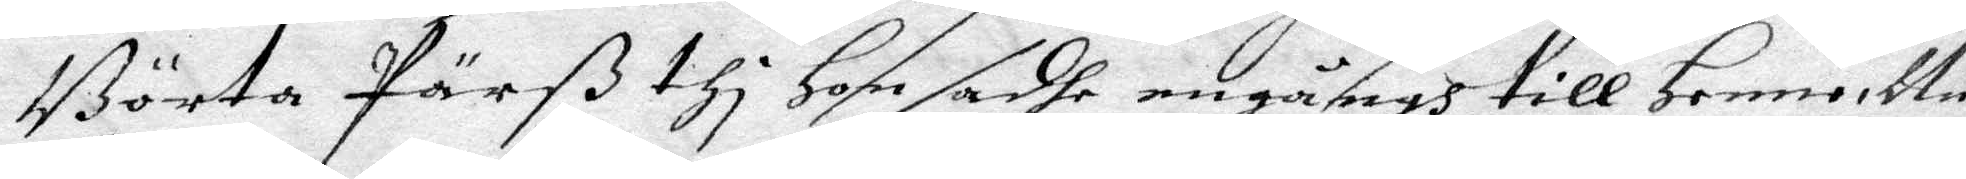Börta Pärß thi Hon sadhe engångh till Henne Nu
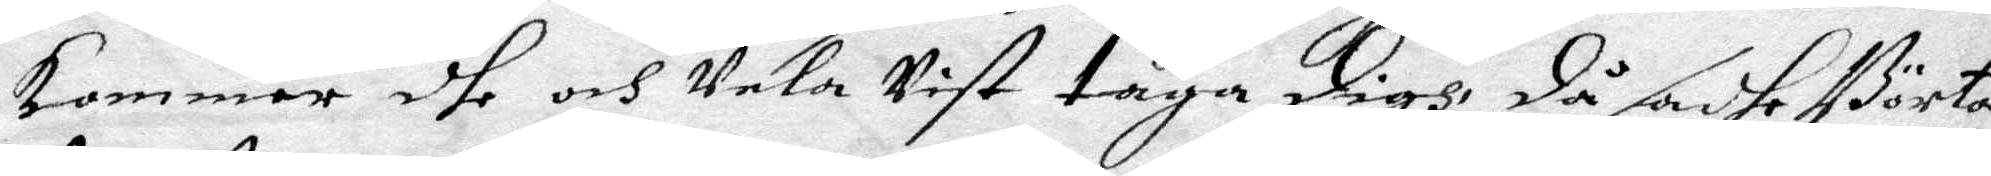kommer dhe och Vela Vist taga digh, då sadhe Börta
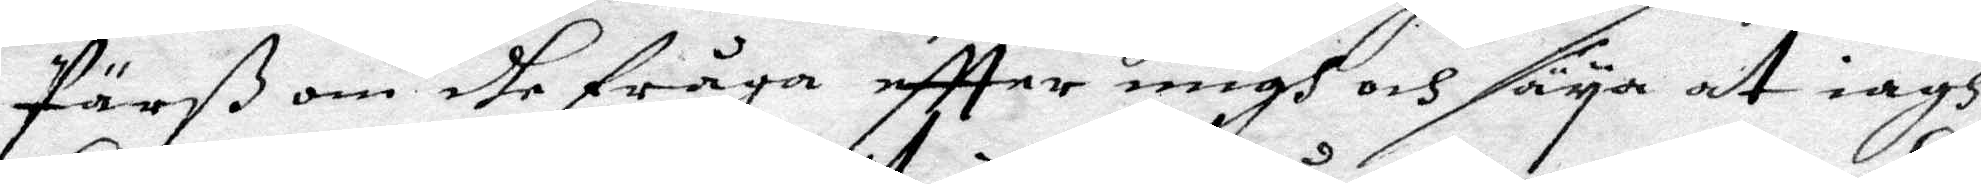Pärß om dhe fråga eftter migh och säya at iagh
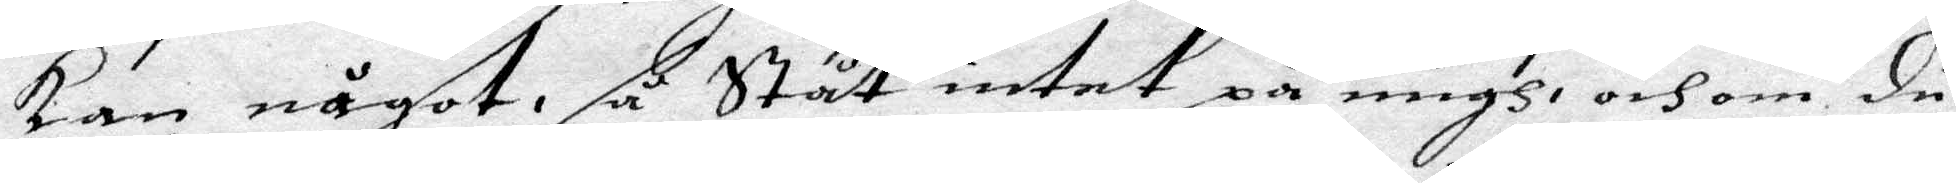kan något, så ståt intet på migh, och om du
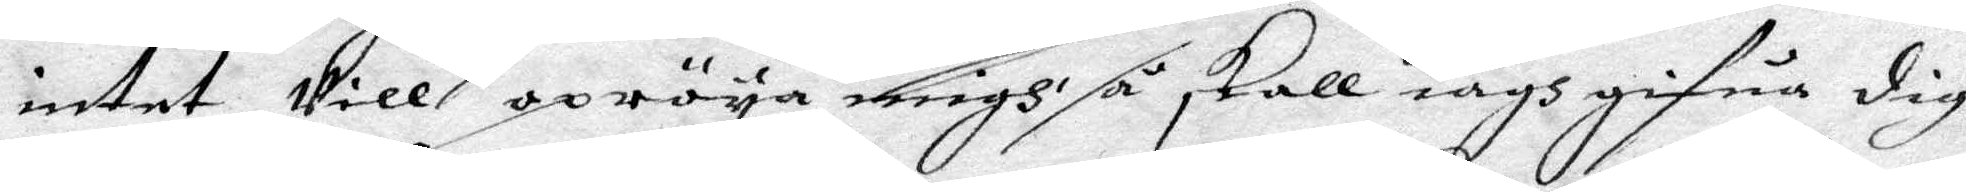intet Vill opröya migh så skall iagh gifua digh
